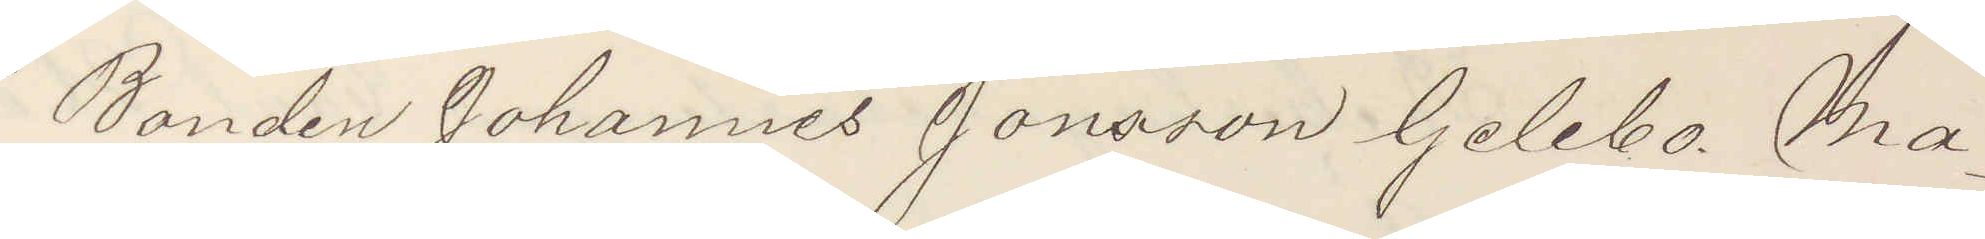Bonden Johannes Jonsson Gelebo Ma¬
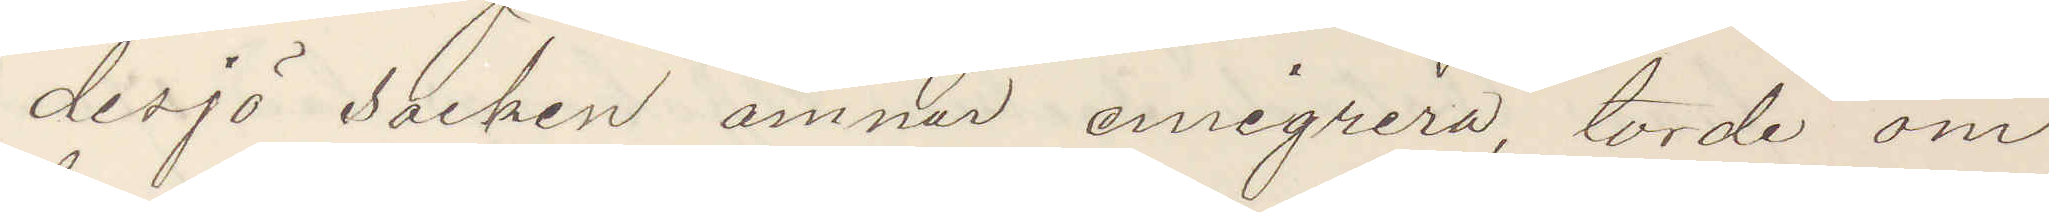desjö socken ämnar emigrera, torde om
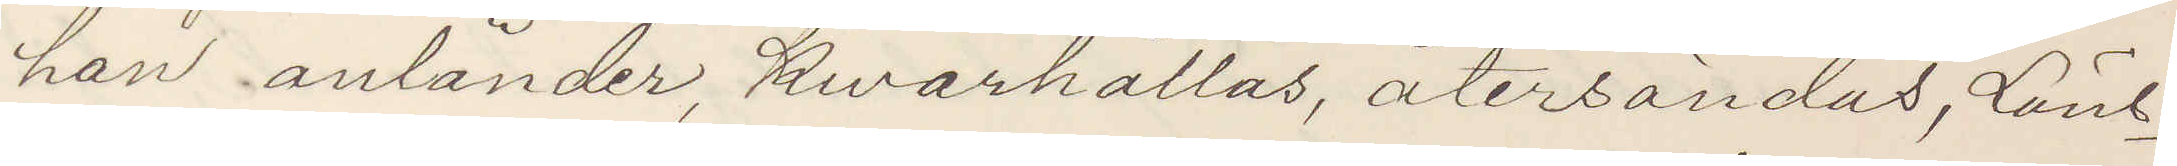han anländer, kvarhållas, återsändas, Läns¬
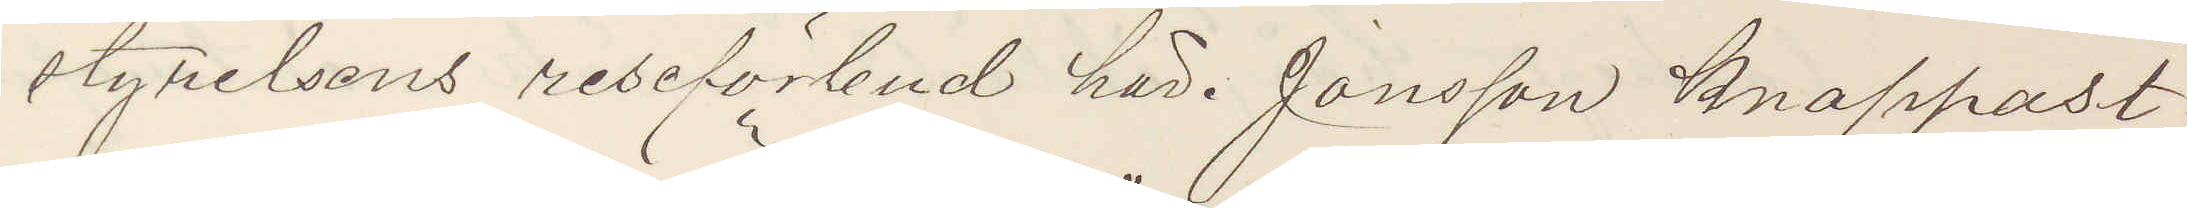styrelsens reseförbud här. Jonsson knappast
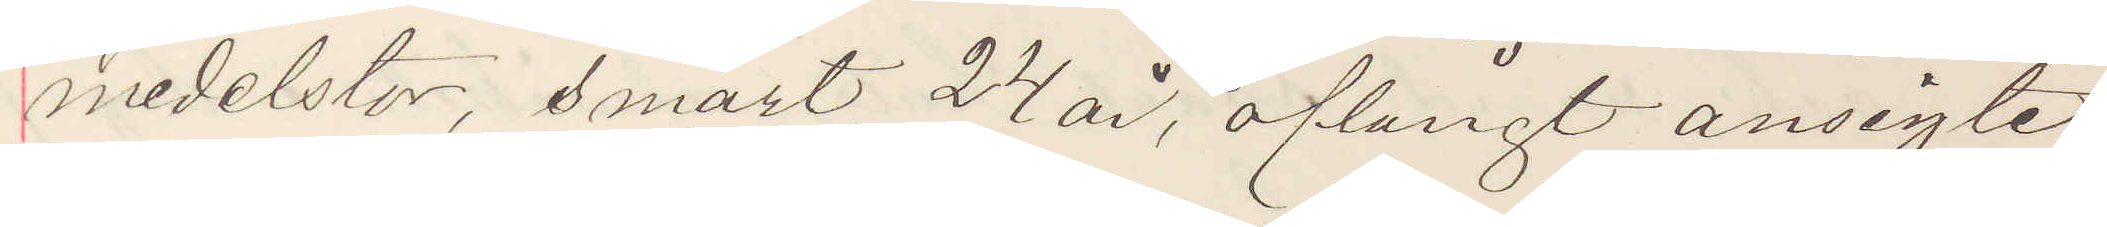medelstor, smärt, 24 år, aflångt ansigte
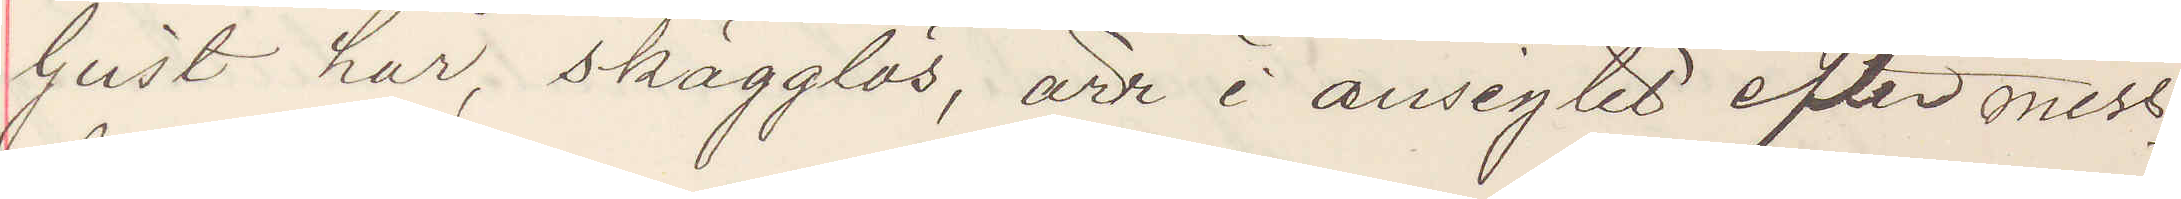ljust har, skägglös, ärr i ansigtet efter miss¬
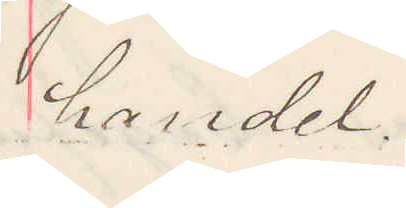handel.
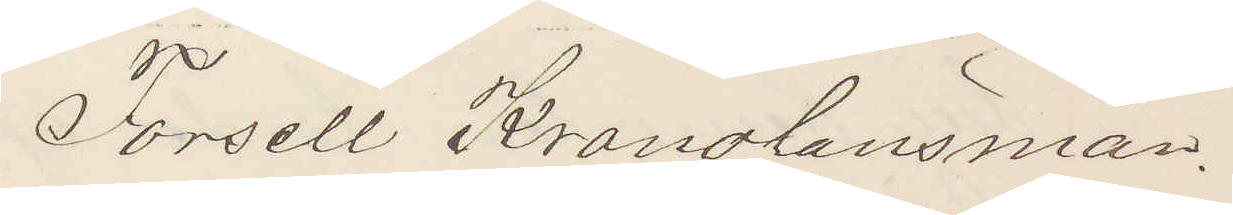Forsell Kronolänsman.
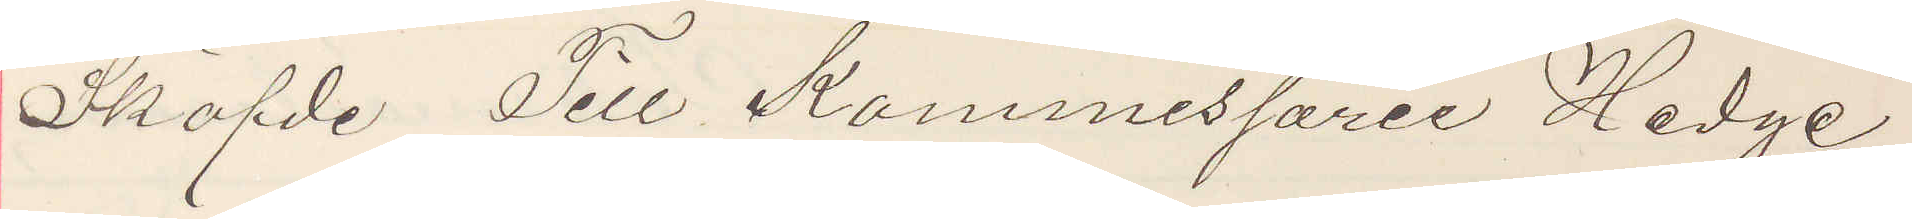Sköfde Till Kommissarie Hedge
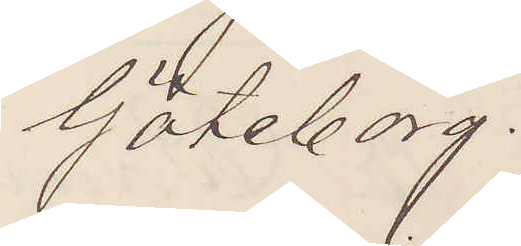Göteborg.
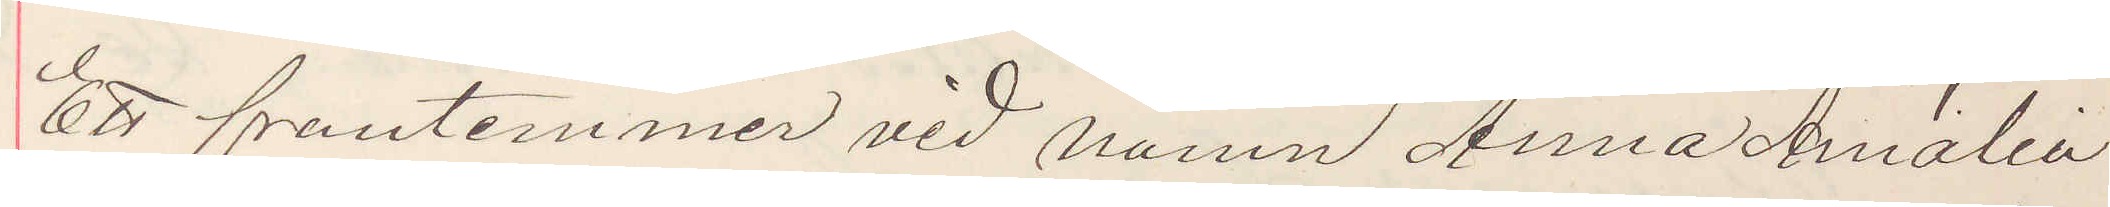Ett fruntimmer vid namn Anna Amalia
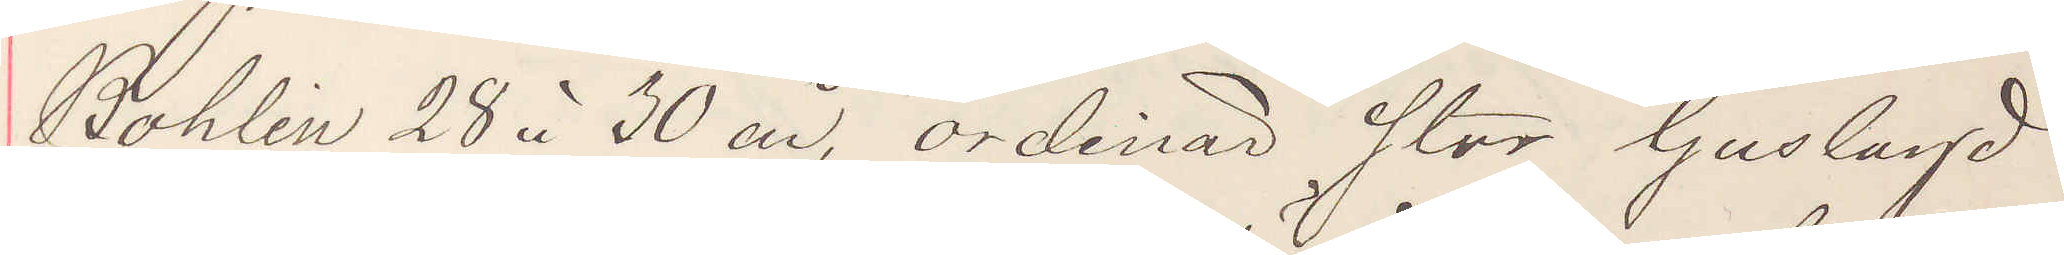Bohlin 28 à 30 år, ordinär stor ljuslagd
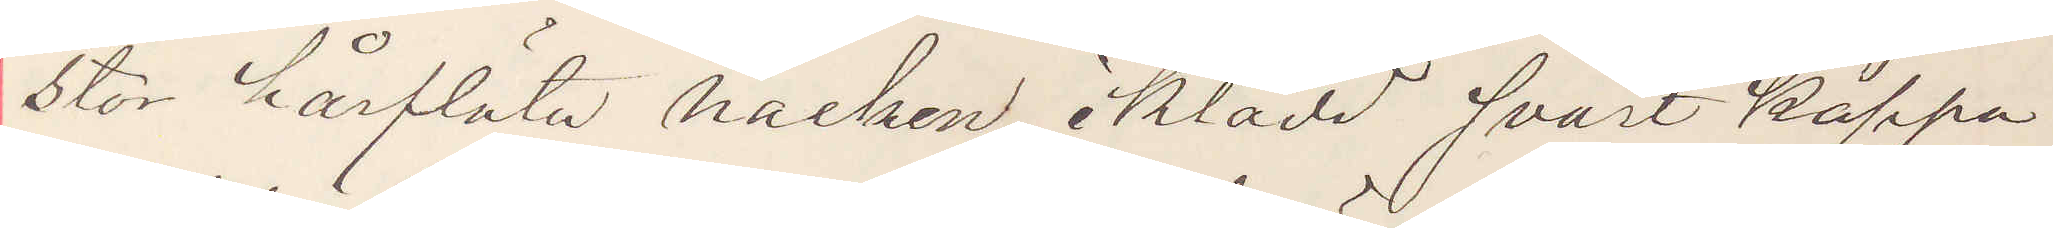stor hårflåta nacken, iklädd svart kappa
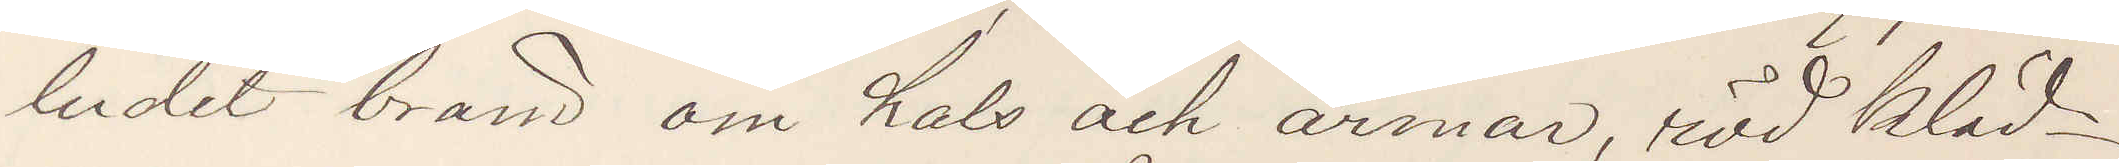ludet brand om hals och ärmar, röd kläd¬
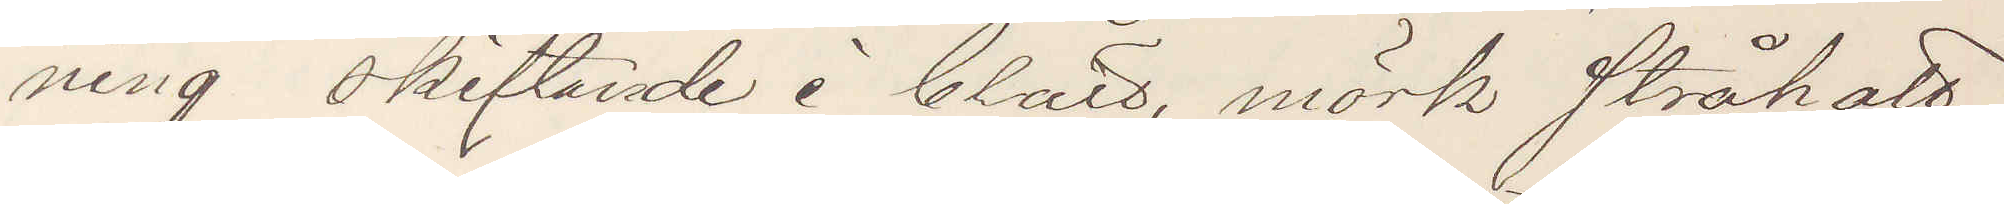ning skiftande i blått, mörk stråhatt,
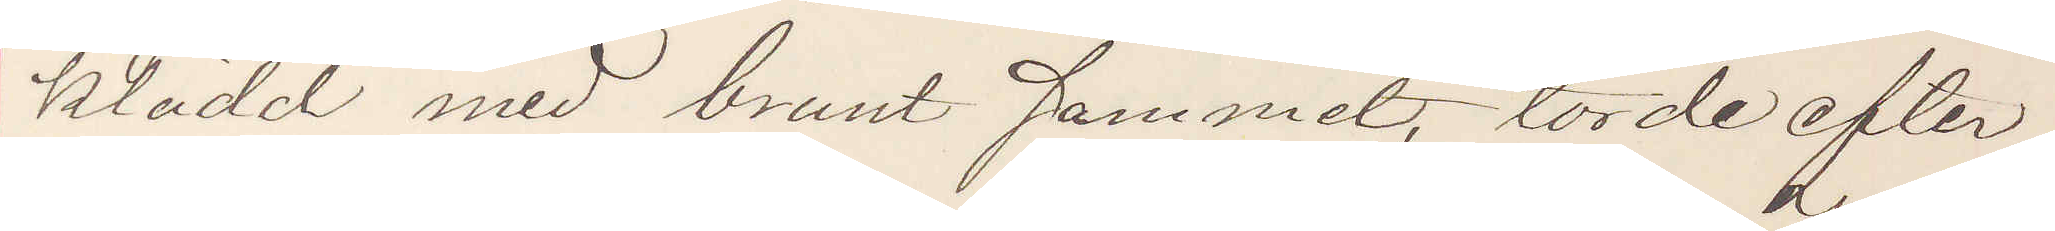klädd med brunt sammet, torde efter¬
